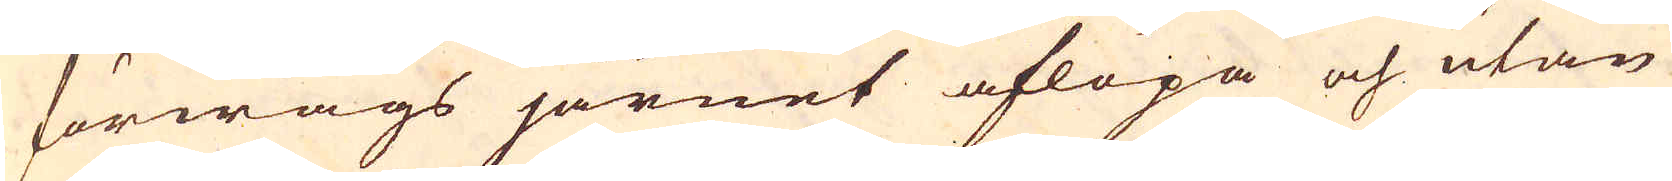förwågs järnet aflöpa och utan
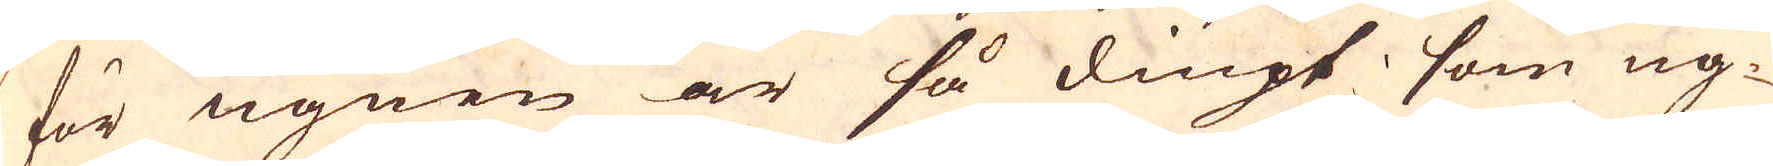för ugnen är så diupt som ug-
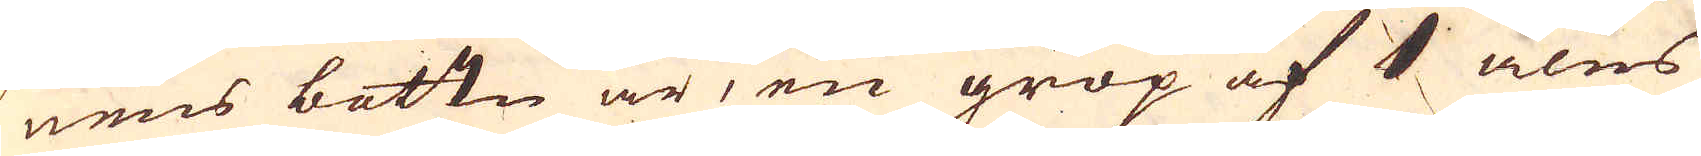nens bottn är, en grop af 1 alns
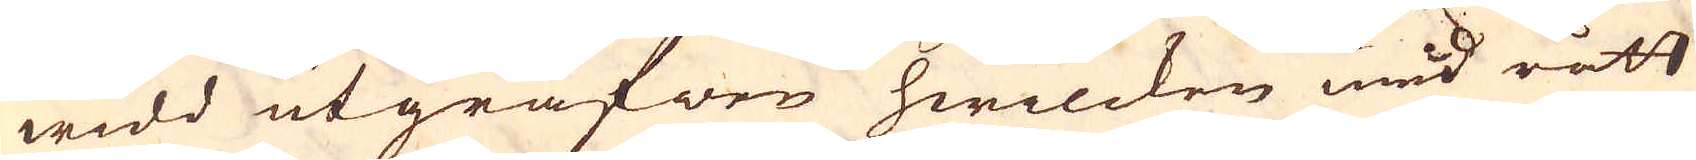widd utgräfwen hwilcken med rått
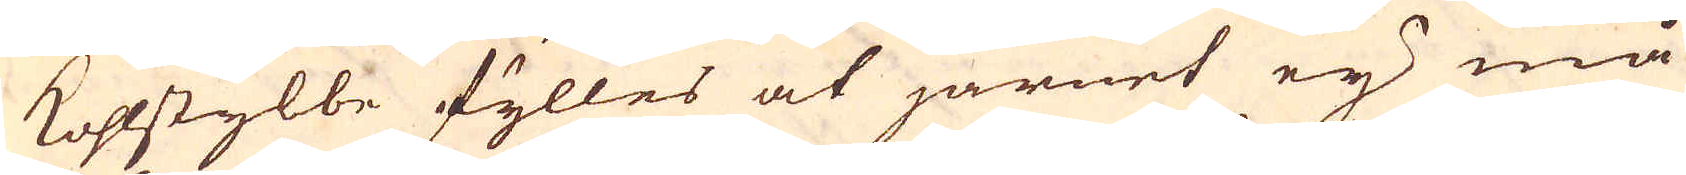kohlstybbe fylles at järnet ey må
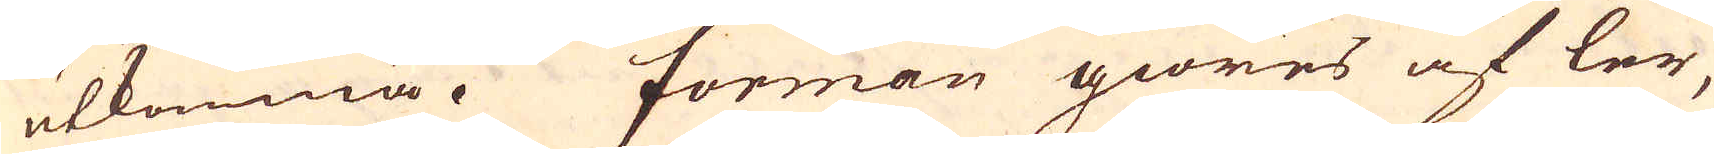utkomma. Forman giöres af ler,
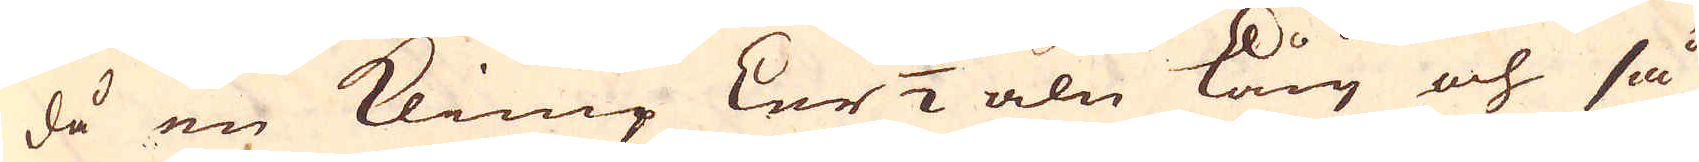då en klimp Ler 1/2 aln lång och så
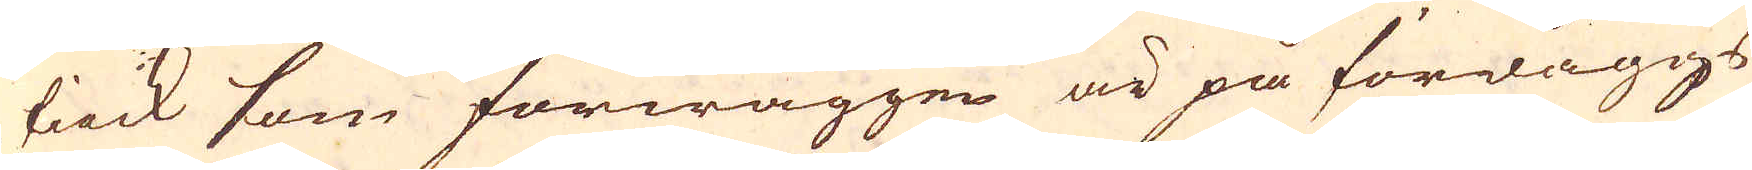tiock som förwäggen är på förwäggs
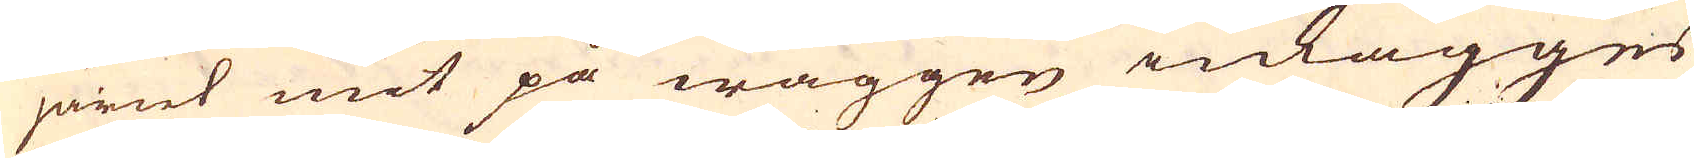järnt mit på wäggen inlägges
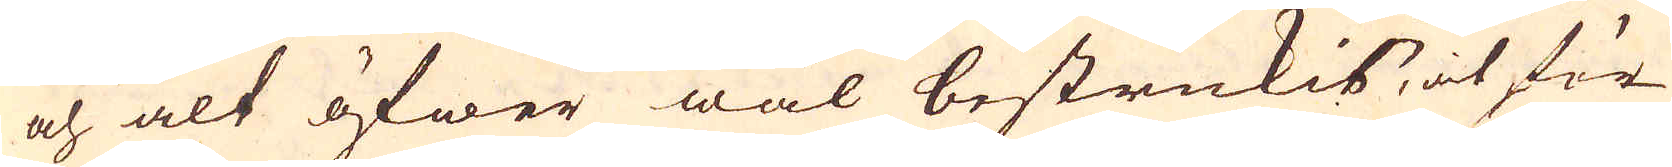och alt öfwer wäl bestrukis, at för-
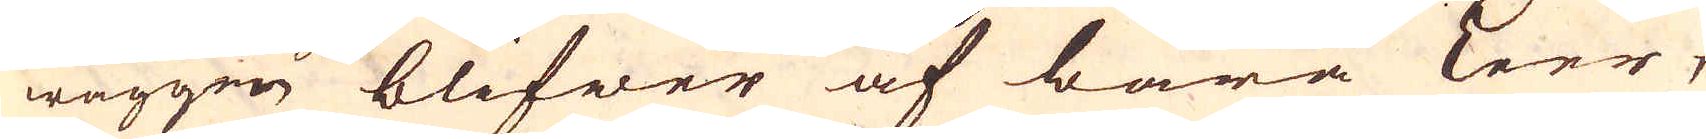wäggen blifwer af bära Leer,
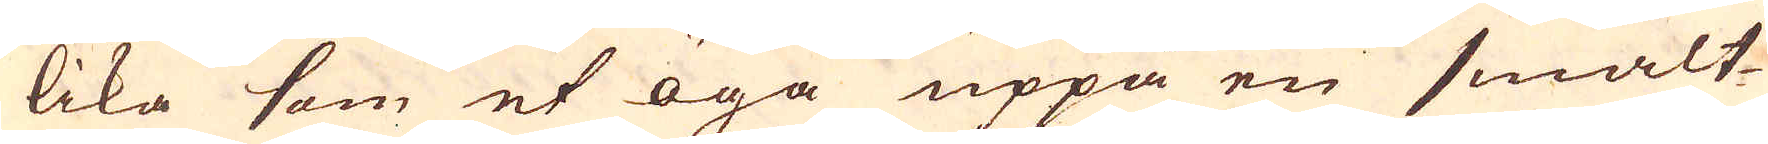lika som et öga uppå en smalt-
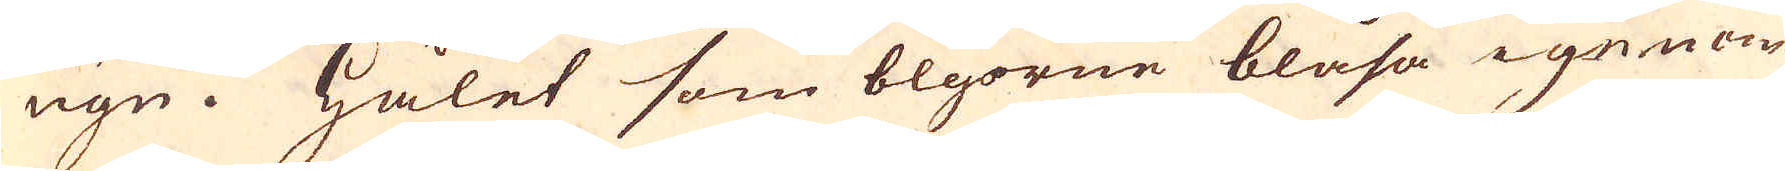ugn. Hålet som blgorne blåsa igenom
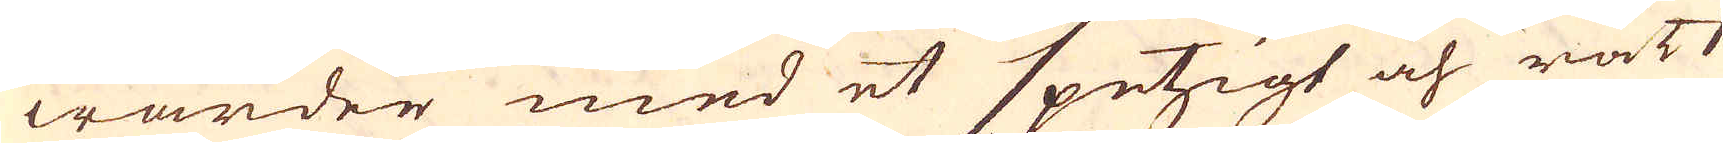warder med et spetzigt och rätt
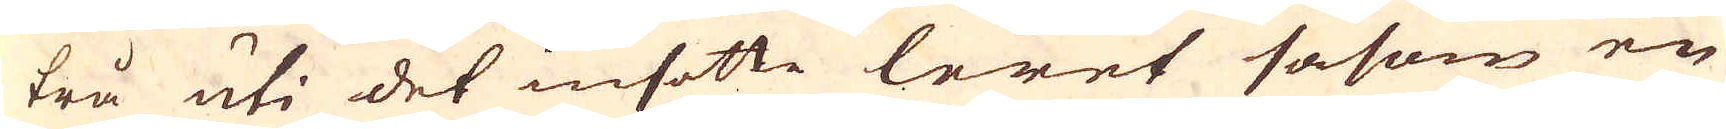trå uti det insatte leret såsom en
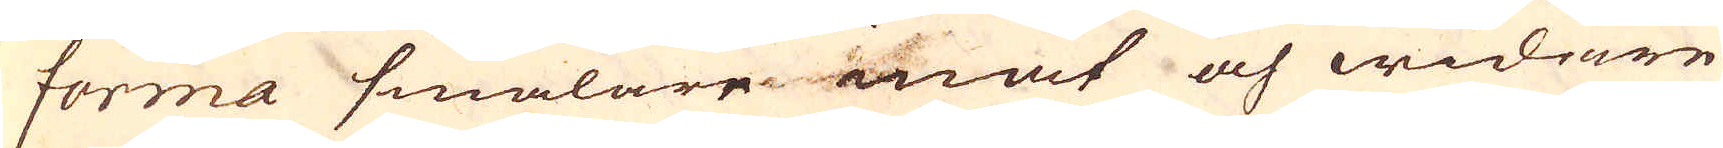forma smalare inåt och widrare
